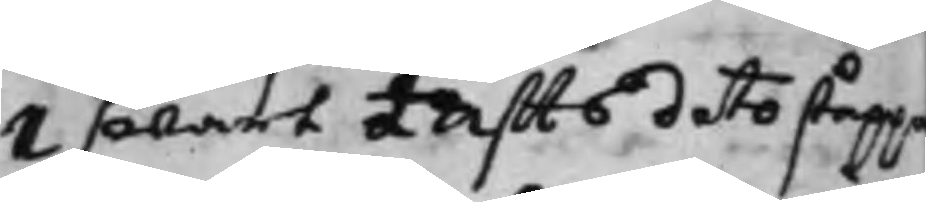1 swart Täffts dito ståppa
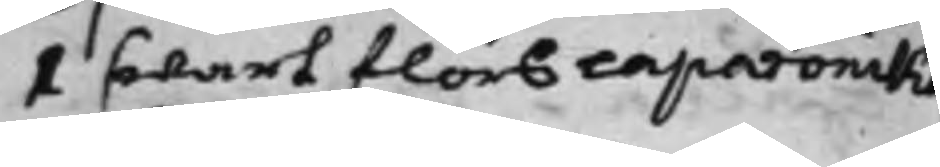1 swart flors caparonika
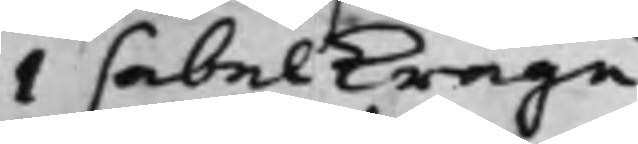1 sabelkrage.
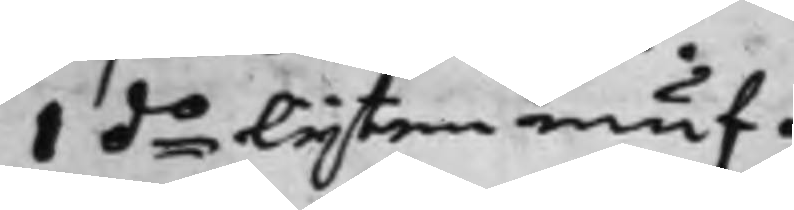1 do Lijten muf.
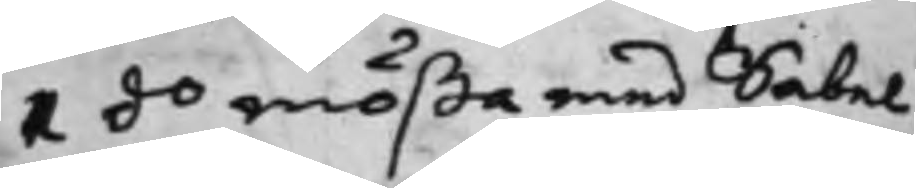1 do mößa med Sabel.
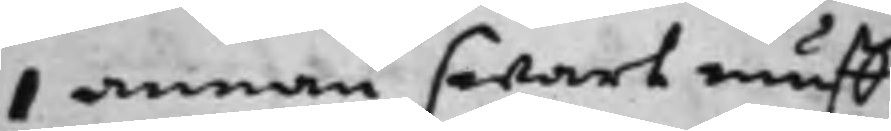1 annan swart muff.
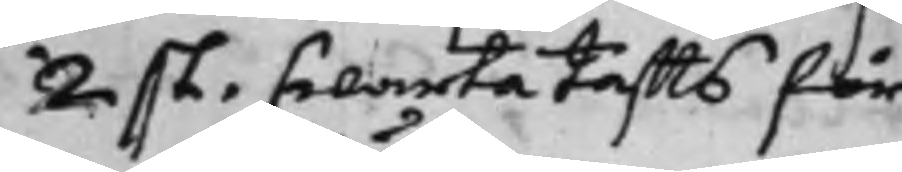2 st. swarta taffts för¬
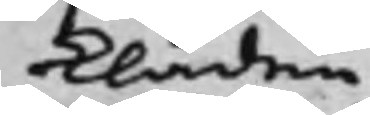Kläden.
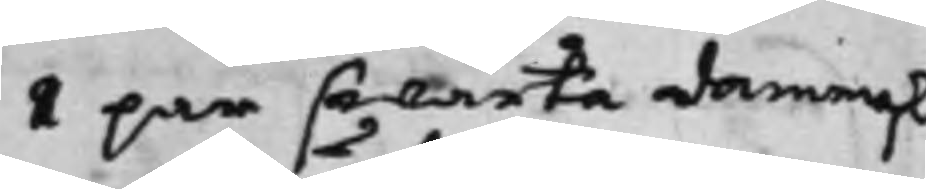1 par swarta dammask¬
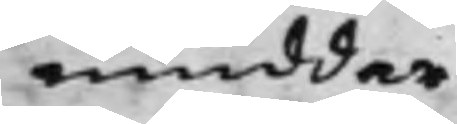muddar
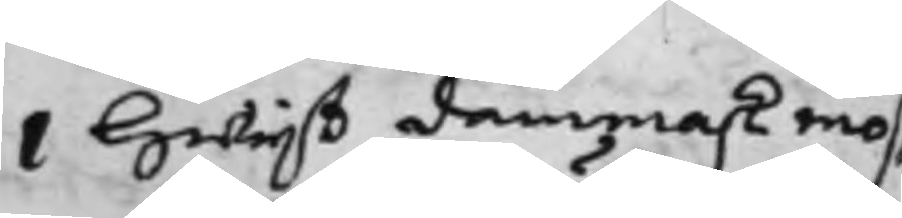i Hwijt dammask mös¬
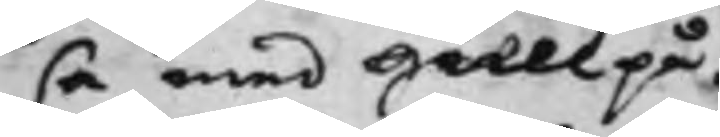sa med Gull på.
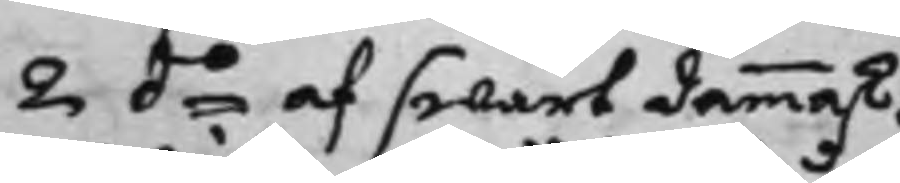2 do af swart dammask.
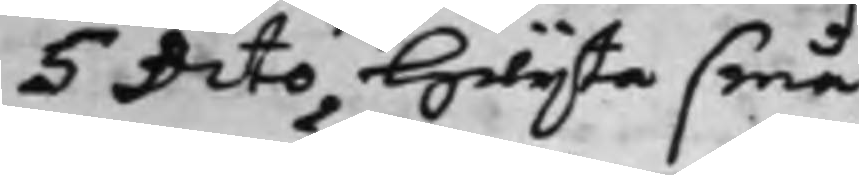5 Dito Hwijte små
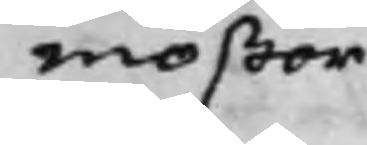mößor.
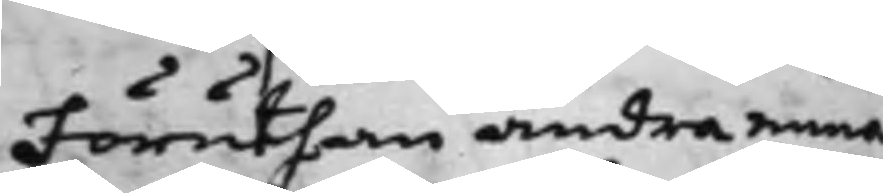Föruthan andra mina
